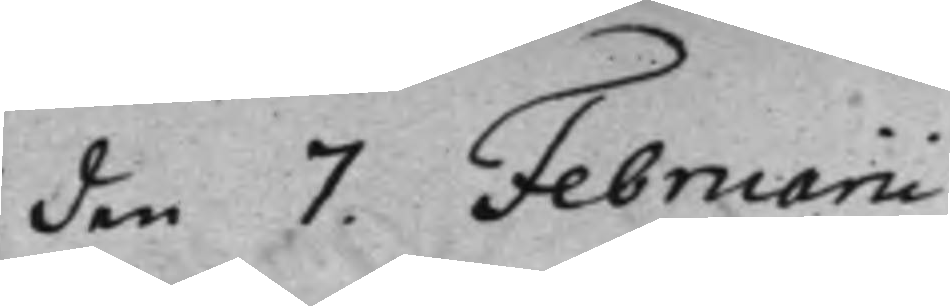den 7. Februarii
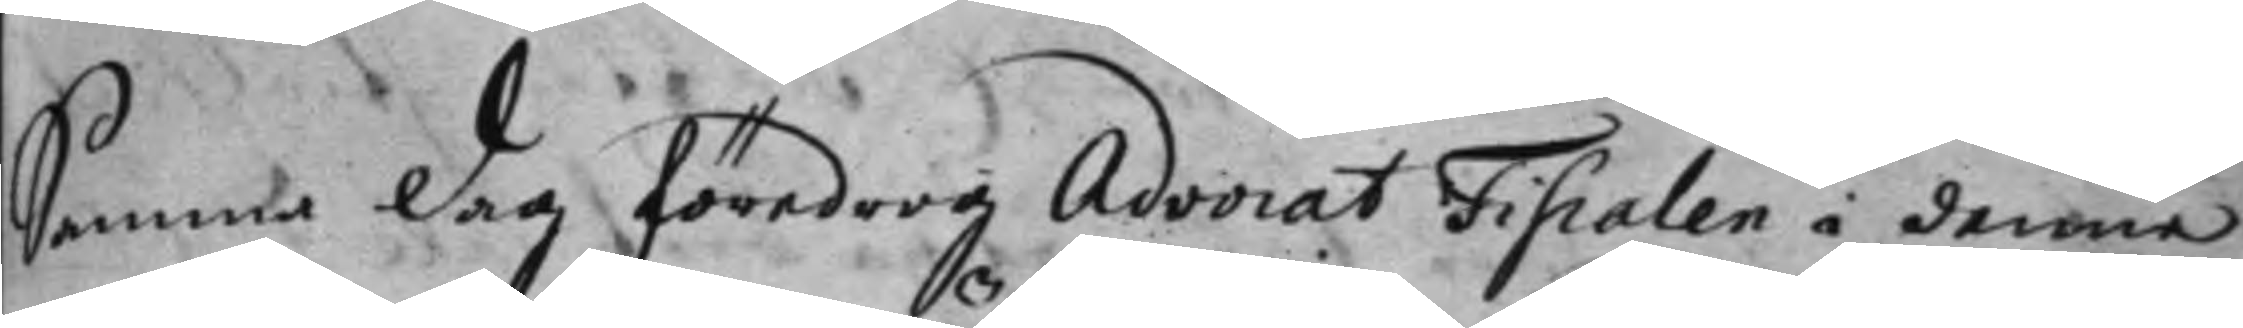Samma dag föredrog Advocat Fiscalen i denna
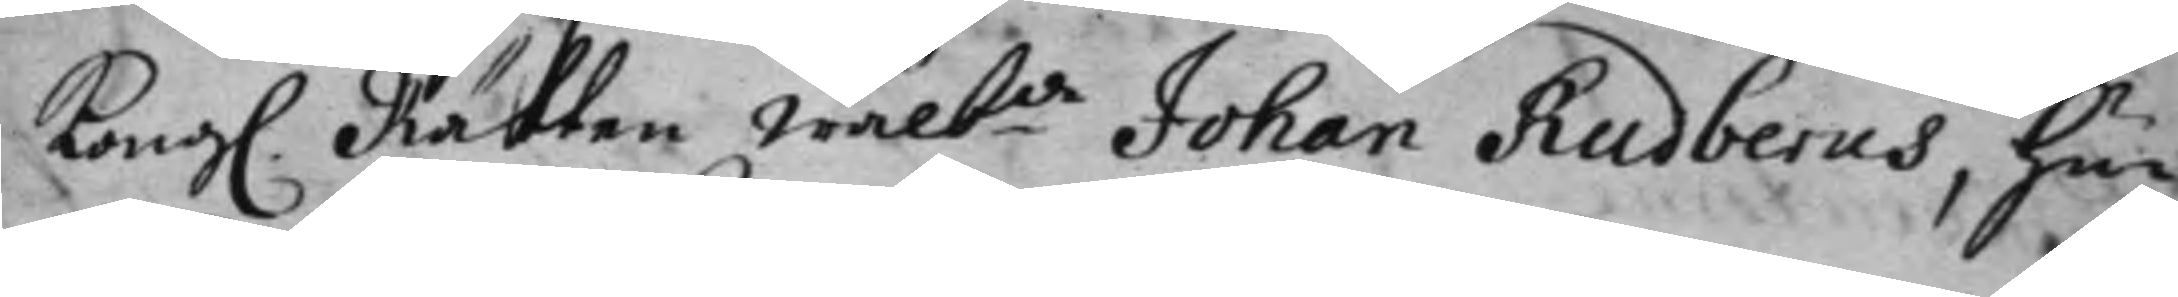Kong. Rätten wälb:de Johan Rudberus, hu¬
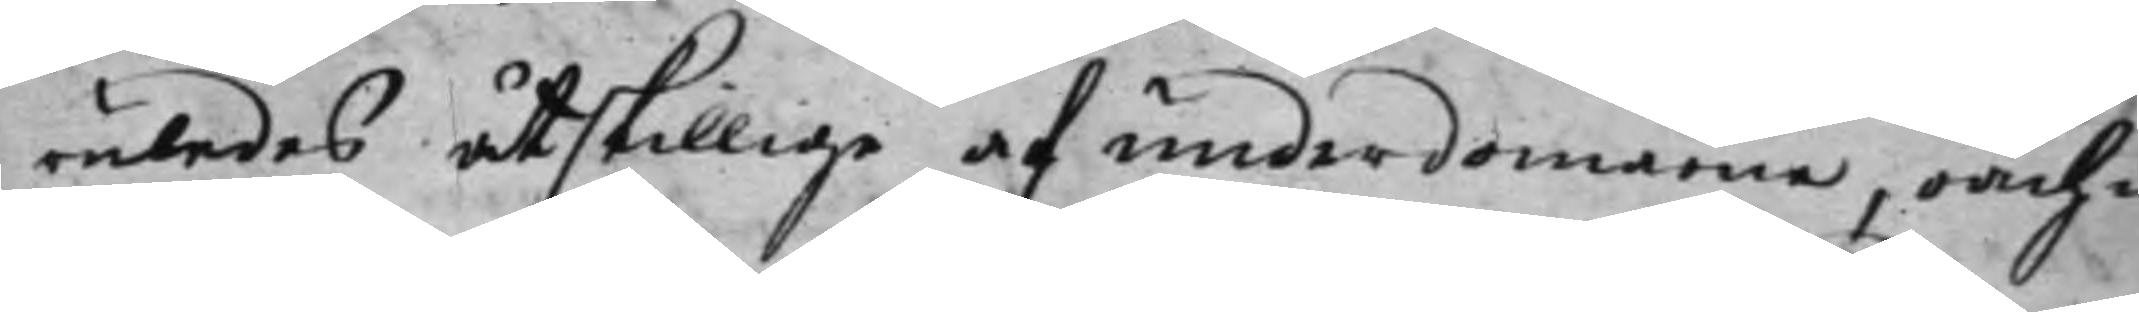ruledes åtskillige af underdomarna, oach¬
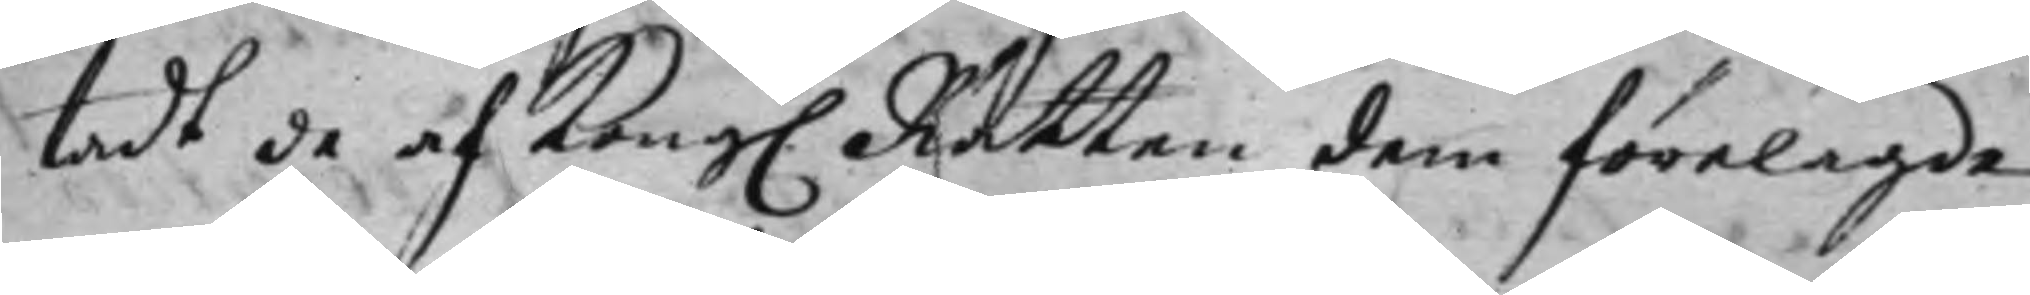tadt de af Kong. Rätten dem förelagde
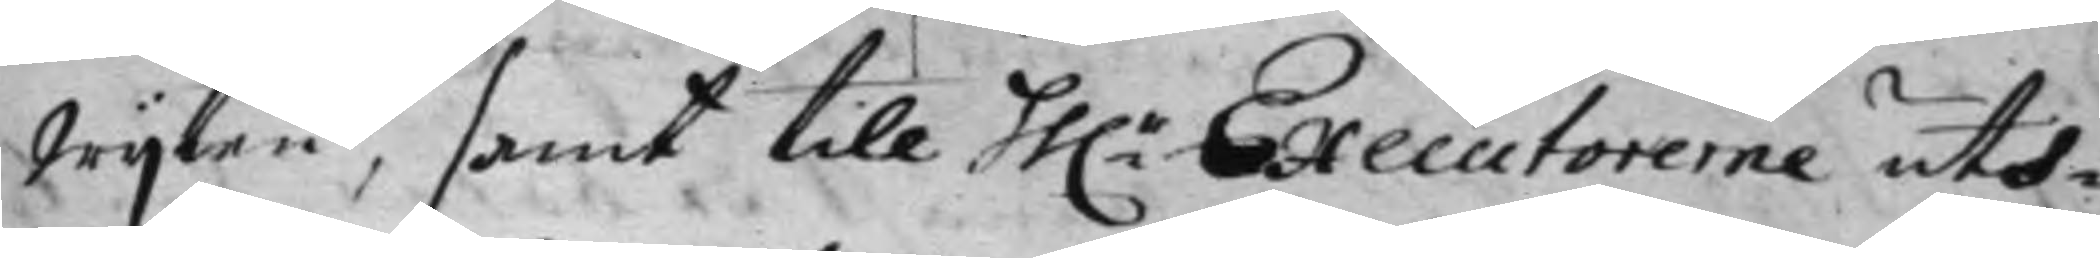wijten, samt till hh:r Executorerne uth¬
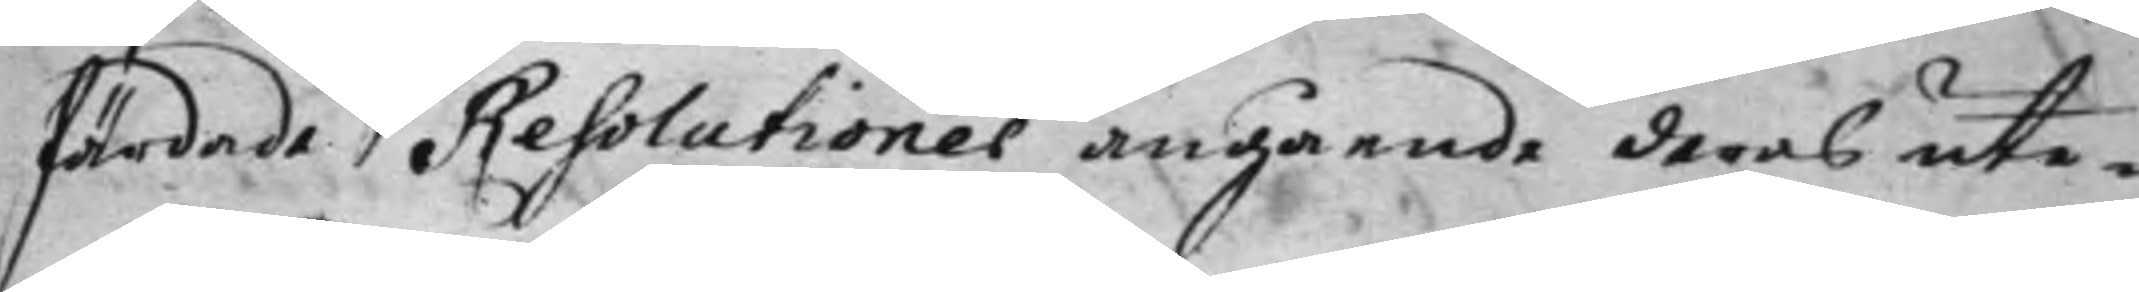färdade Resolutioner angående deras ute¬
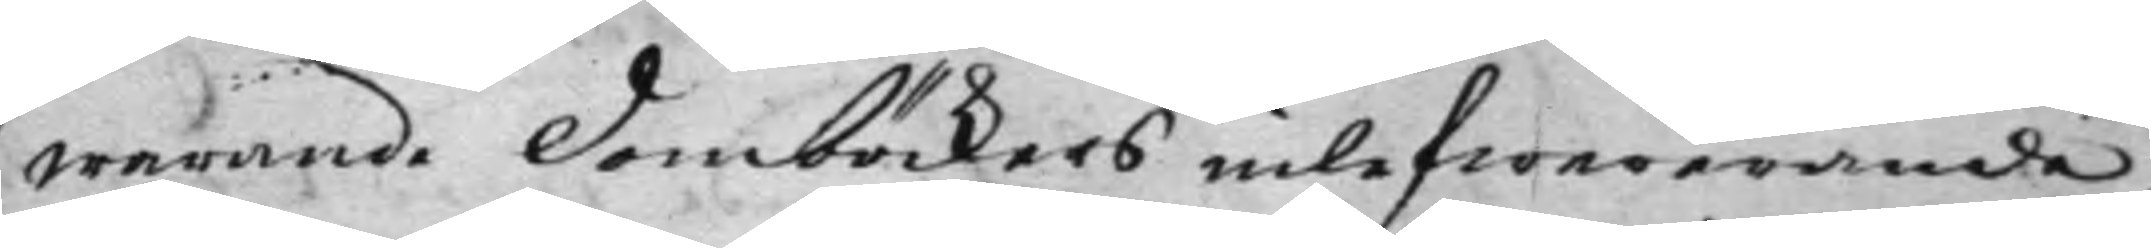warande Domböckers inlefwererande,
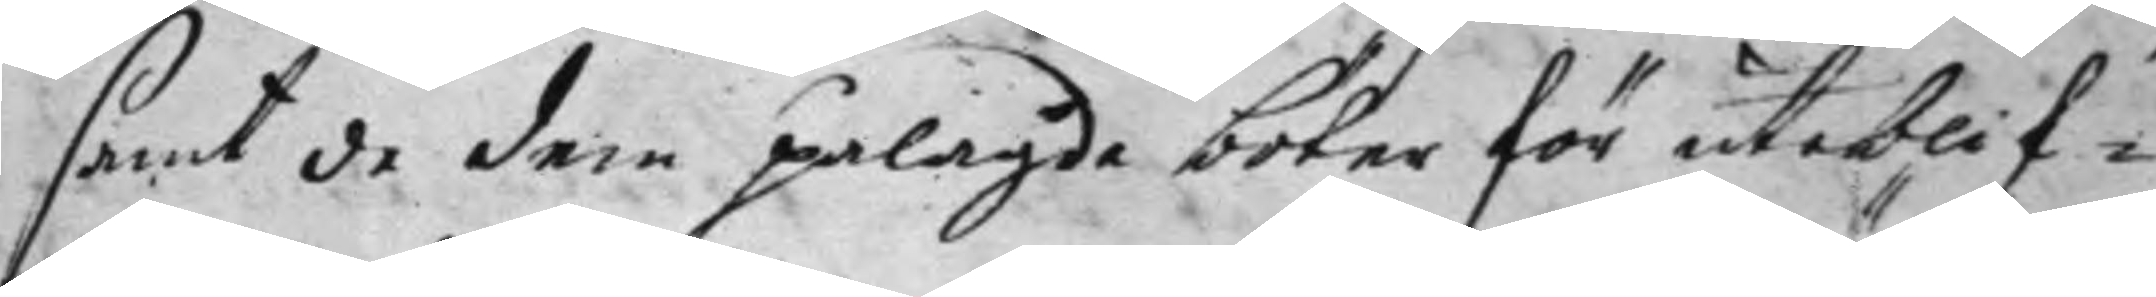samt de dem pålagde böter för uteblif¬
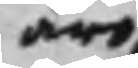äro
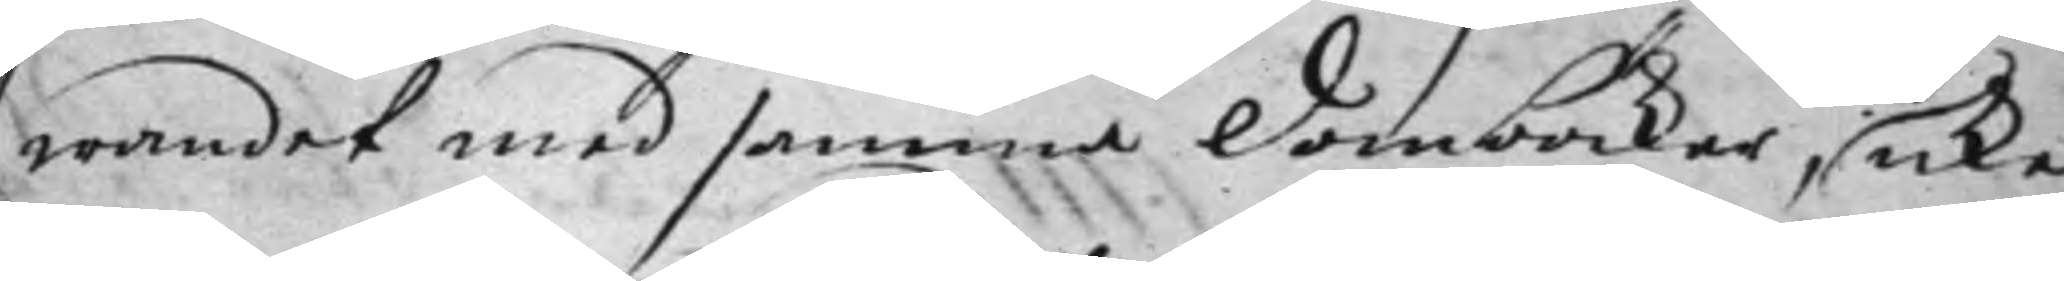wandet med samma Domböcker, icke
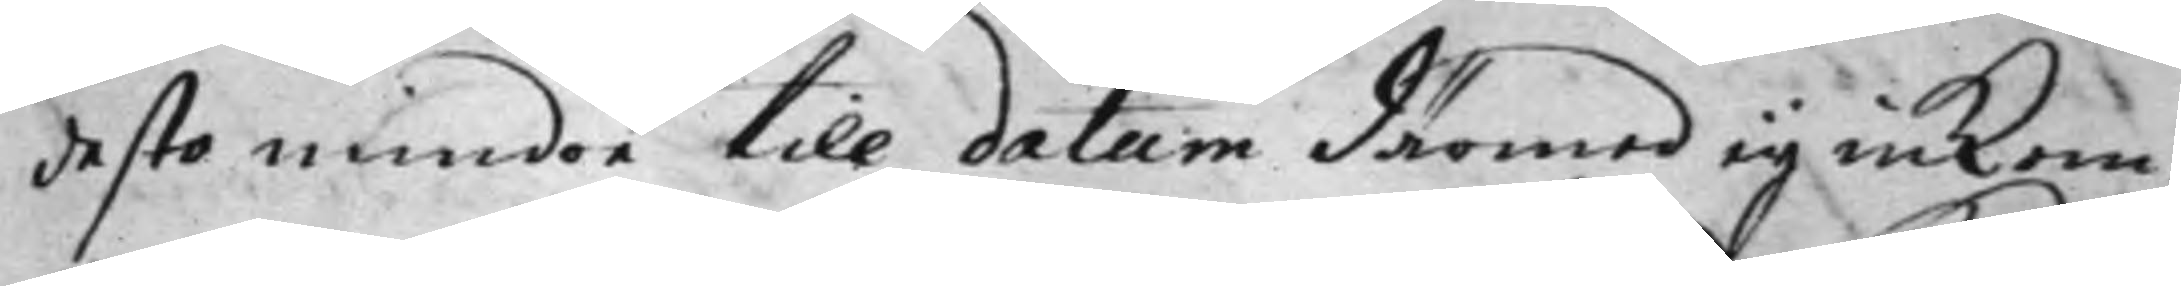desto mindre till datum därmed ey inkom¬
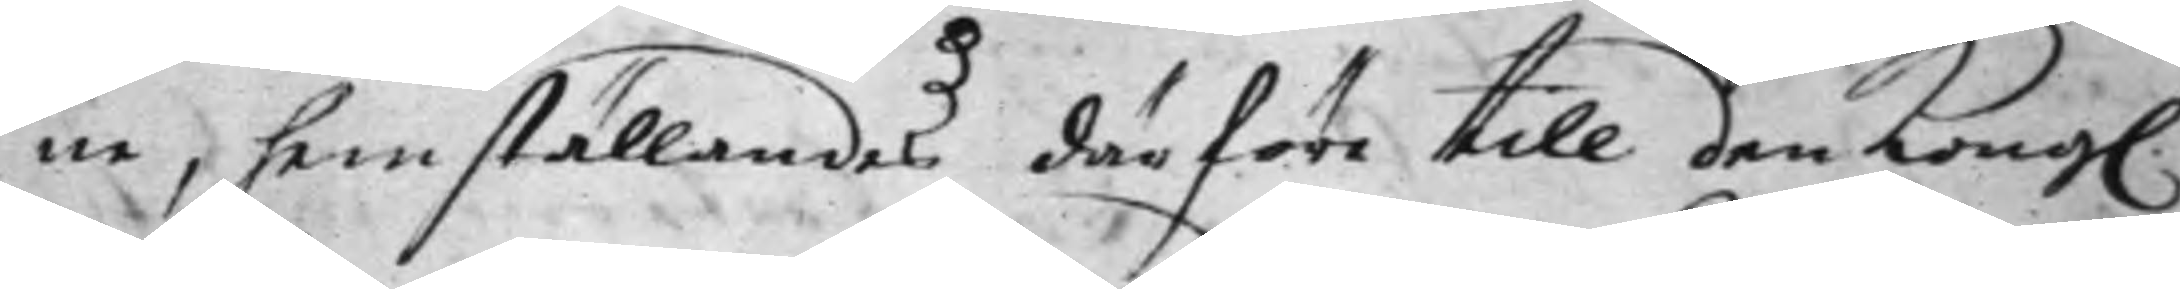ne, hemställandes därföre till den Kong.
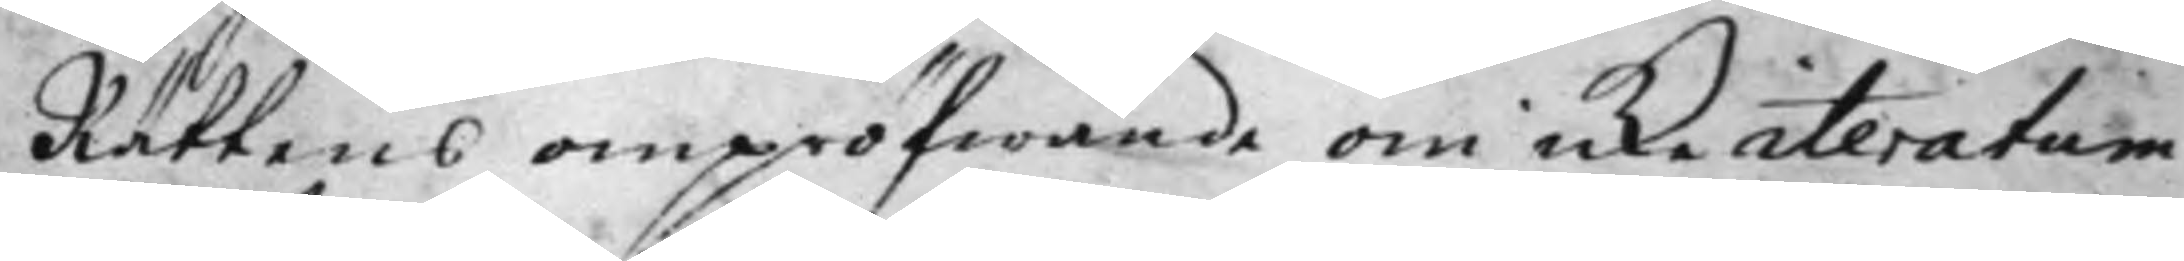Rättens ompröfwande om icke iteratum
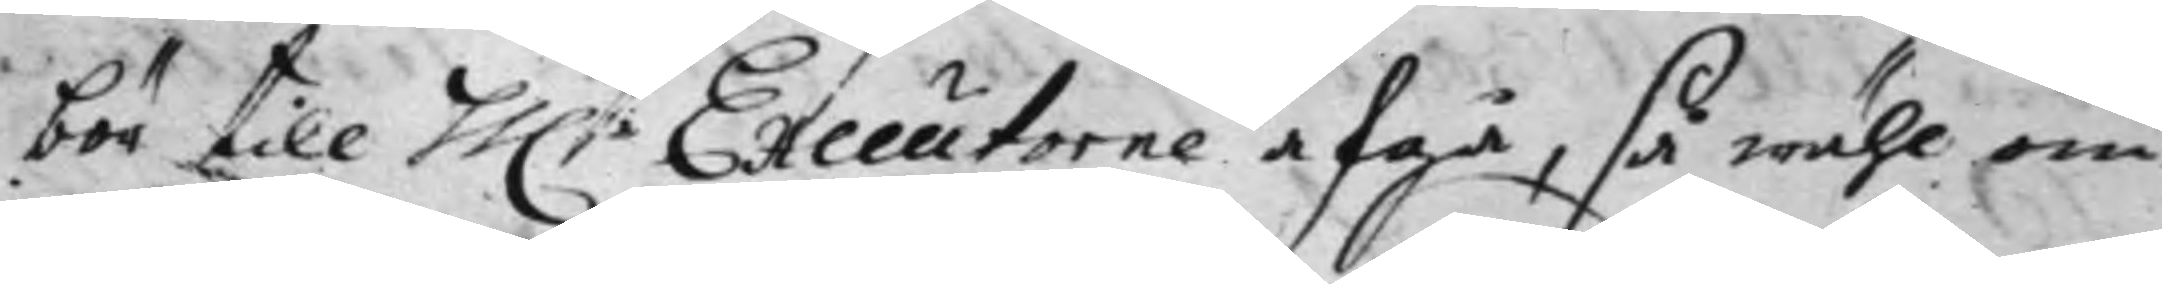bör till hh:r Executorerne afgå, så wähl om
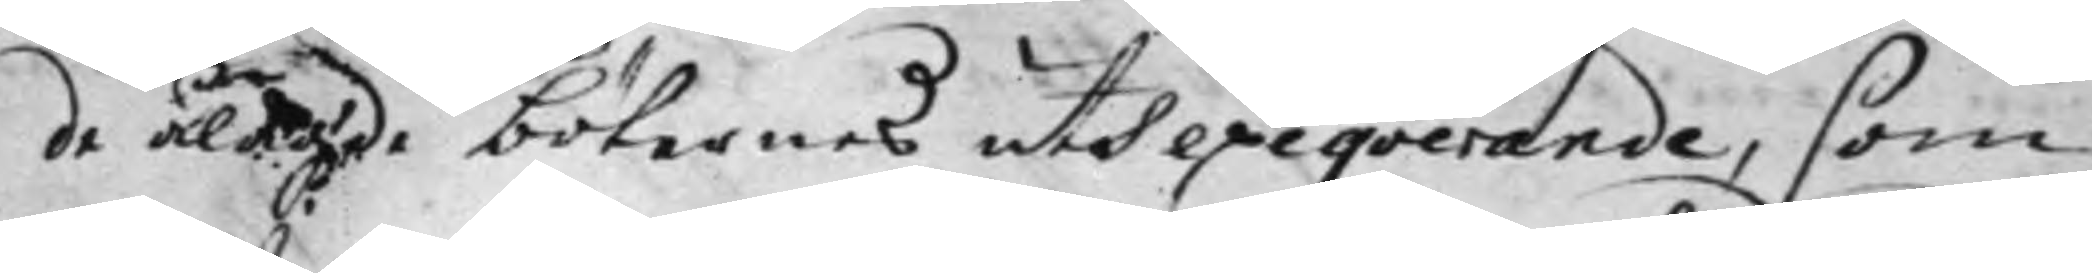de ålagde böternas uth exeqverande, som
